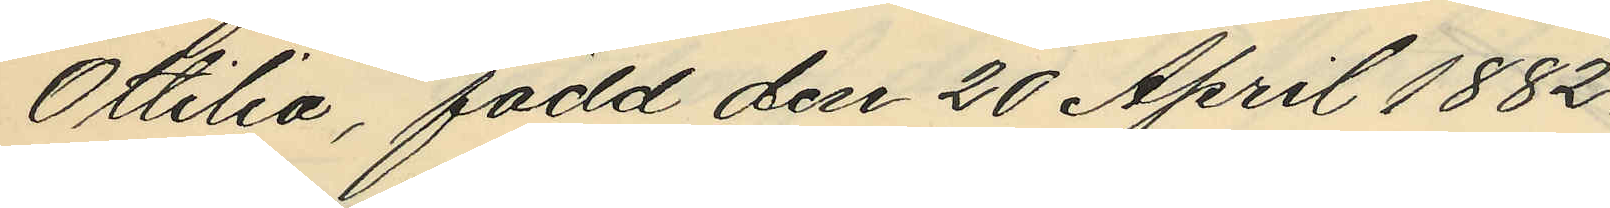Ottilia, född den 20 April 1882.
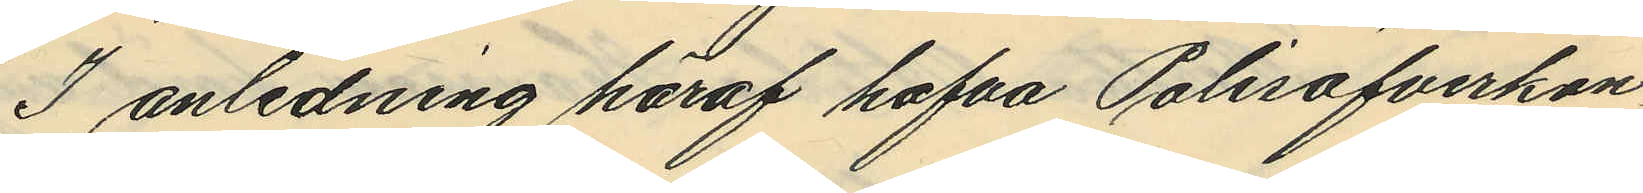I anledning häraf hafva Polisöfverkon¬
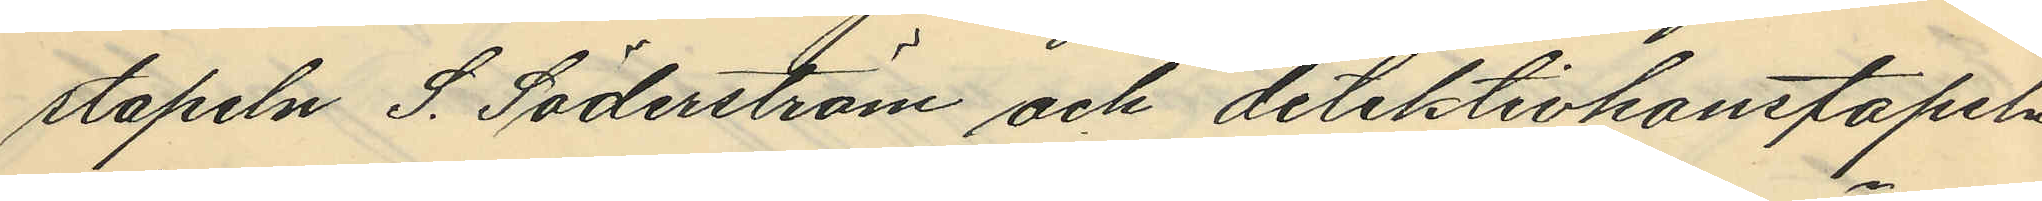stapeln S. Söderström och detektivkonstapeln
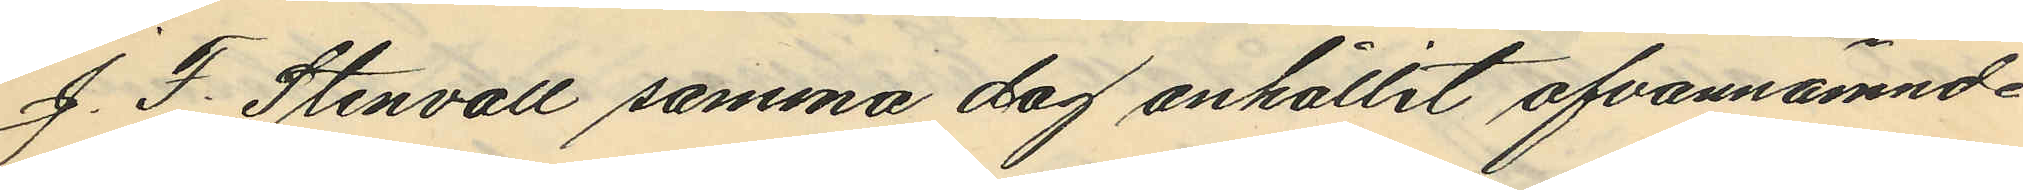J. F. Stenvall samma dag anhållit ofvannämnde
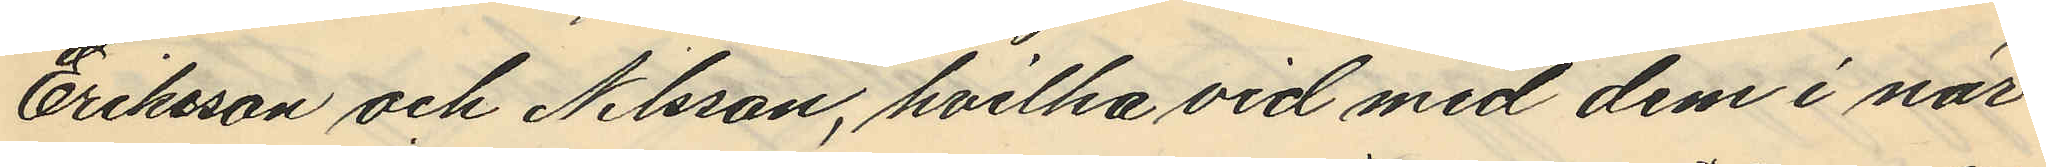Eriksson och Nilsson, hvilka vid med dem i när¬
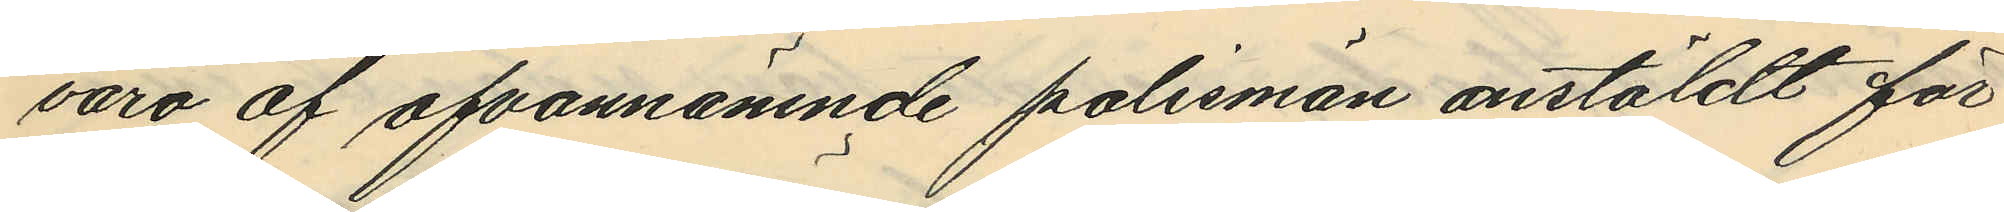varo af ofvannämnde polismän anstäldt för¬
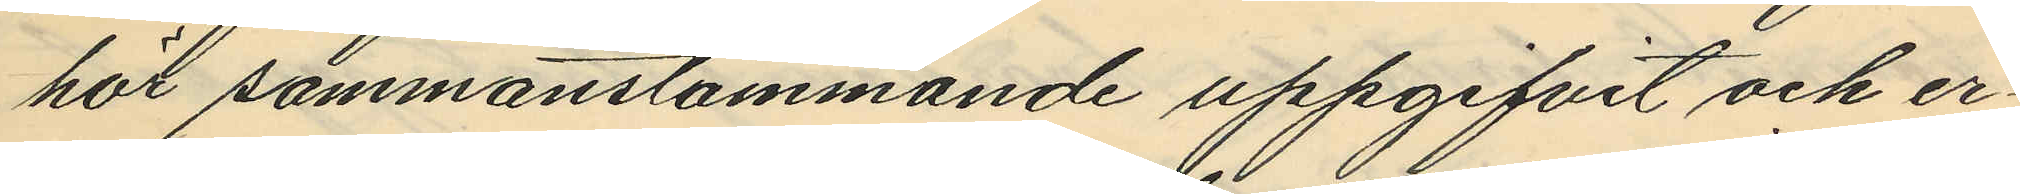hör sammanstämmande uppgifvit och er¬
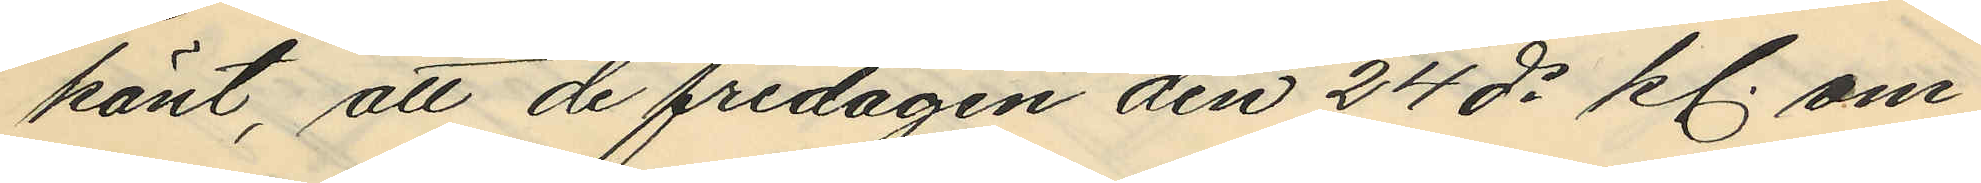känt, att de fredagen den 24 ds kl. om¬
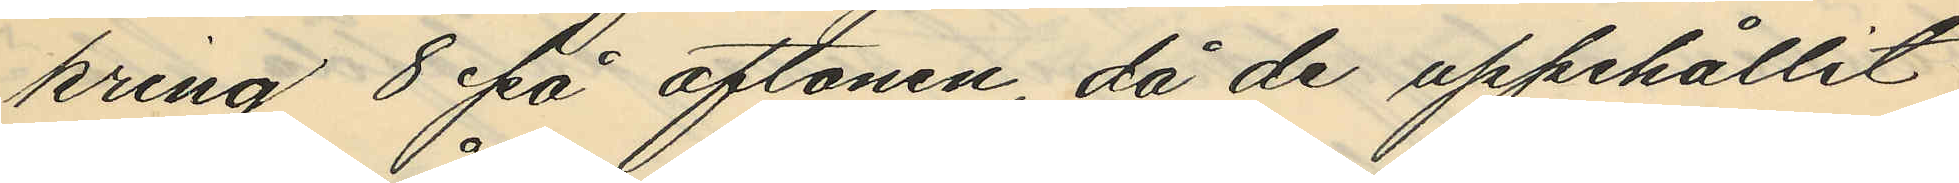kring 8 på aftonen, då de uppehållit
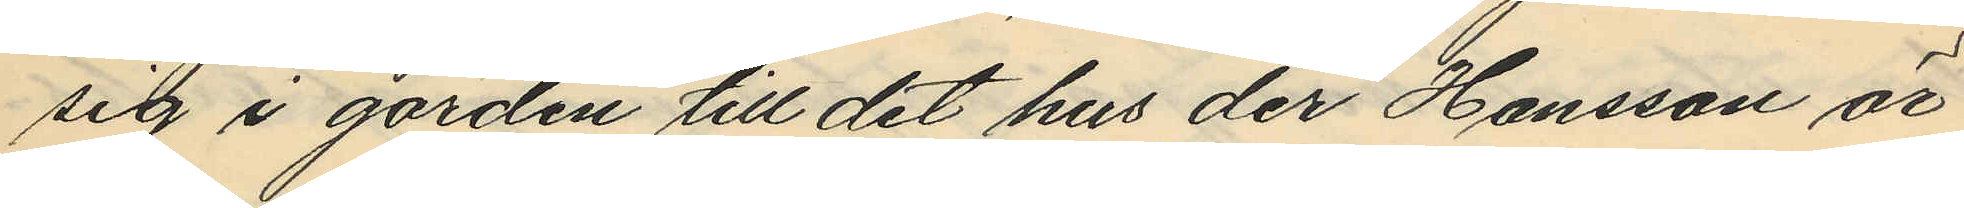sig i gården till det hus der Hansson är
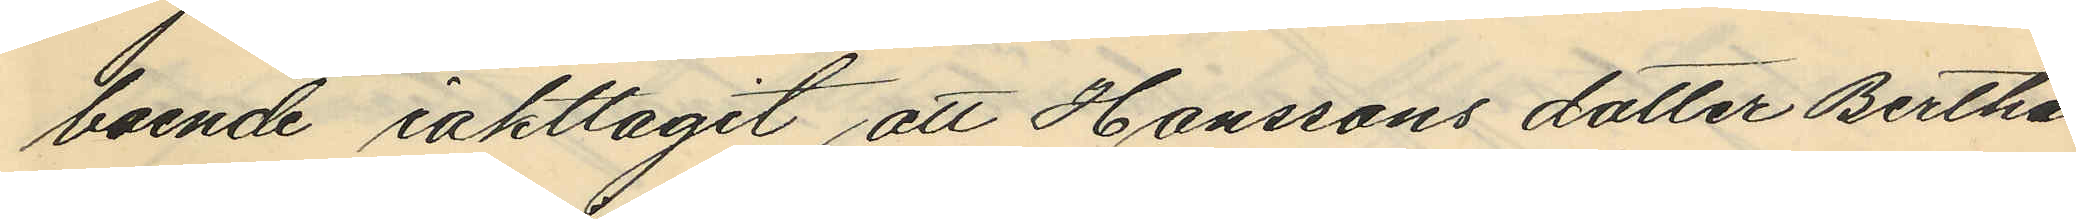boende iakttagit att Hanssons dotter Bertha
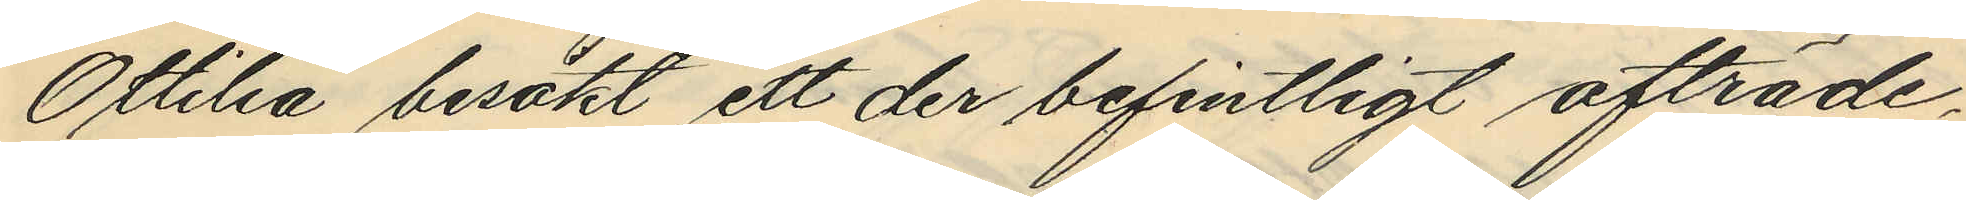Ottilia besökt ett der befintligt afträde,
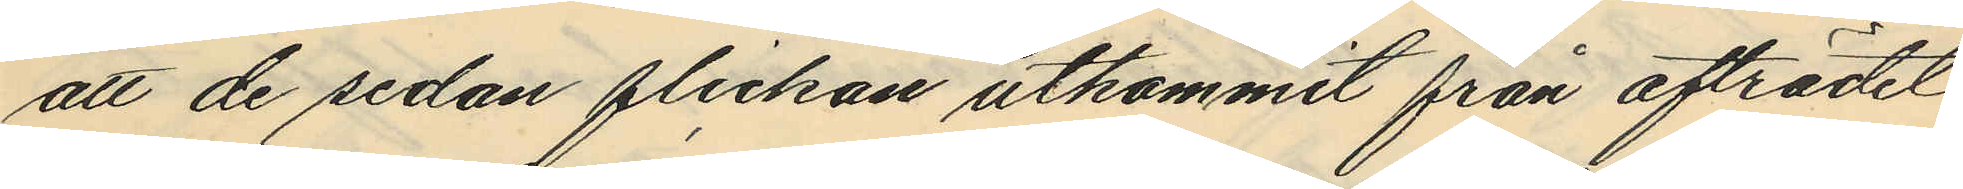att de sedan flickan utkommit från afträdet
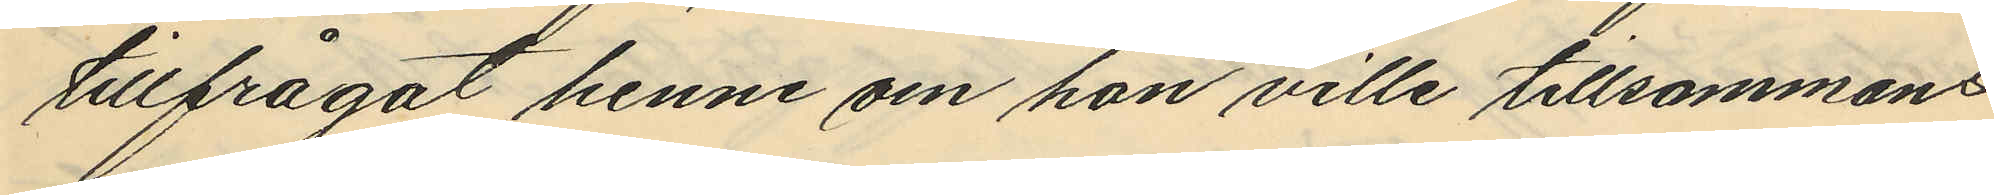tillfrågat henne om hon ville tillsammans
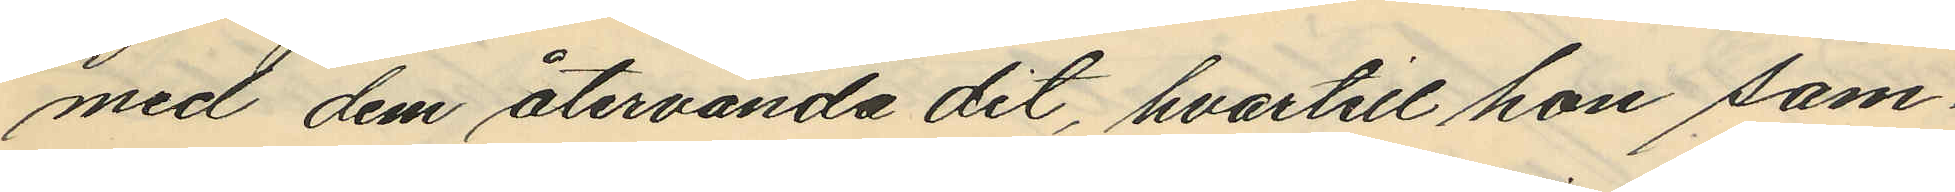med dem återvända dit, hvartill hon sam¬
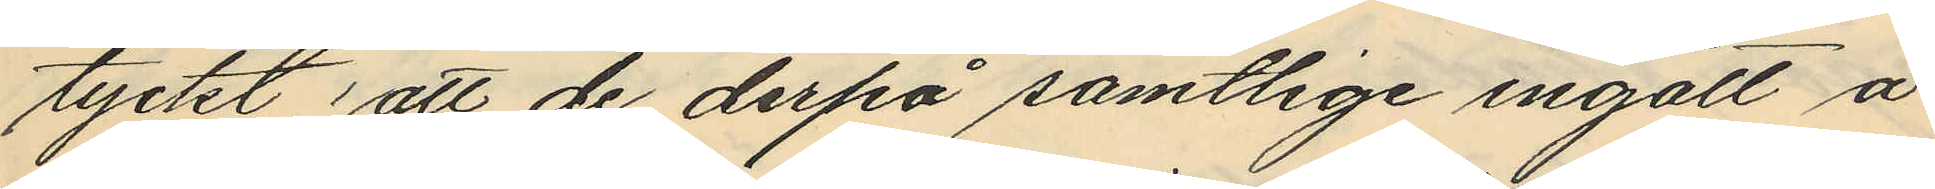tyckt; att de derpå samtlige ingått å
